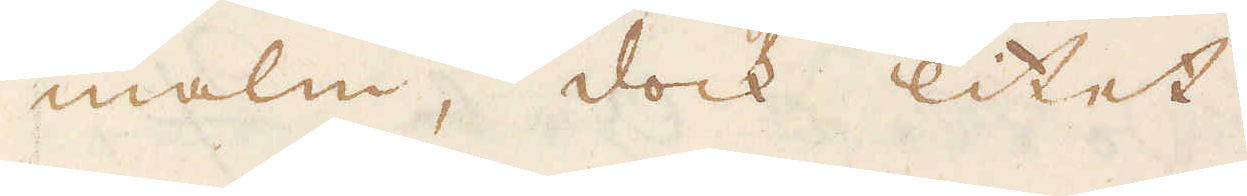malm, dock litet.
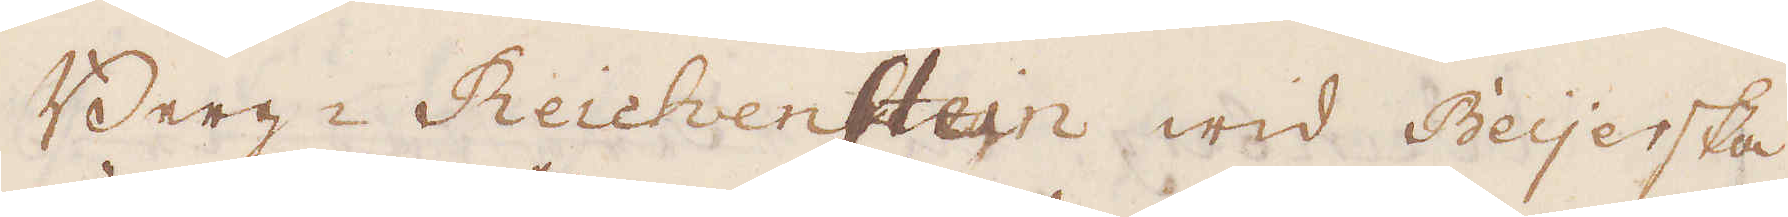Berg-Reichenstein wid Beyerska
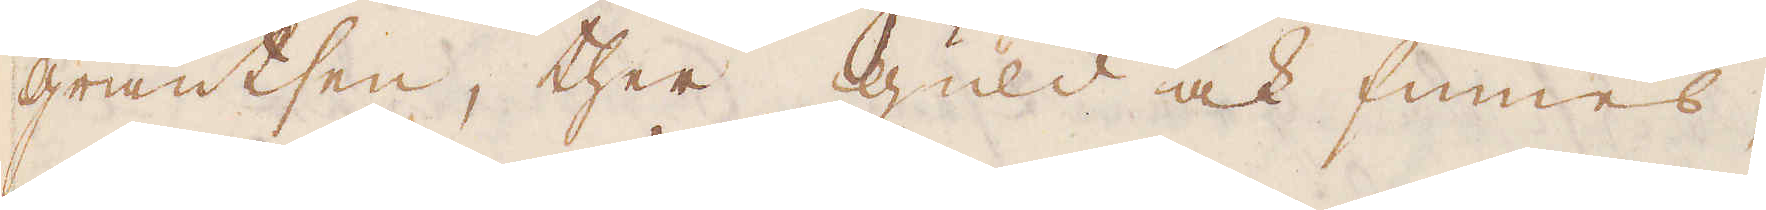gräntsen, ther guld ock finnes,
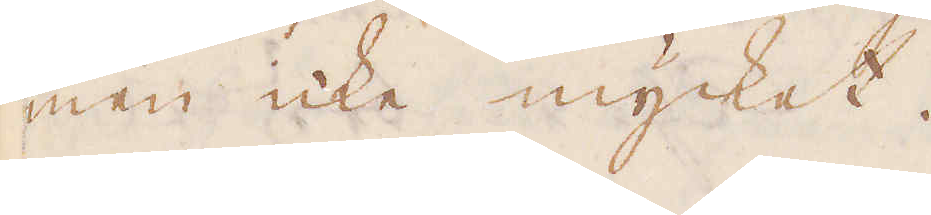men icke mycket.
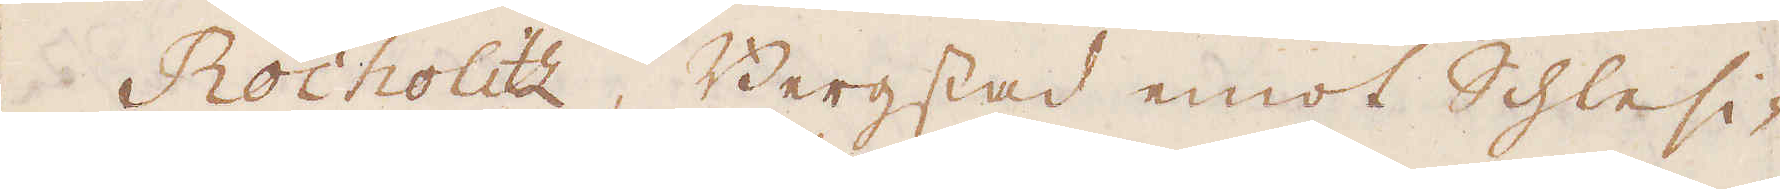Rocholitz, Bergstad emot Schlesi-
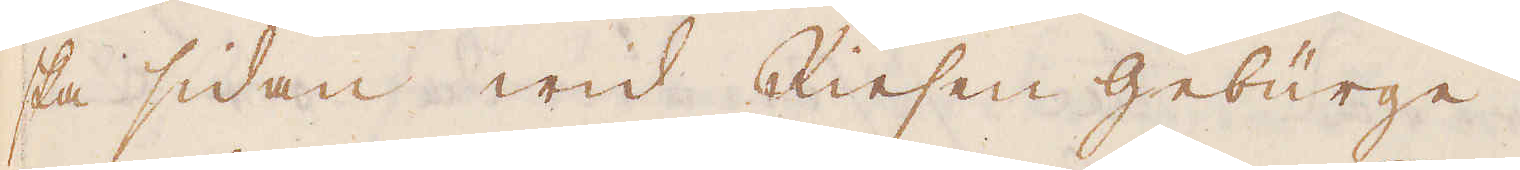ska sidan wid Riesen gebürge.
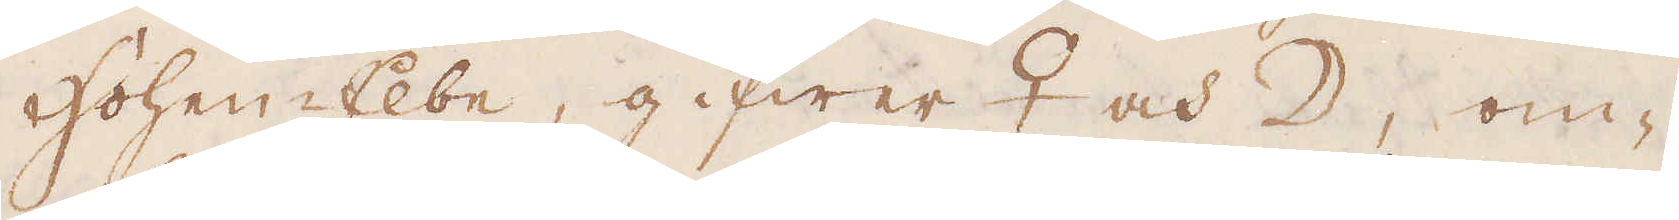Hohen-Elbe, gifwer ♀ och ☽, om-
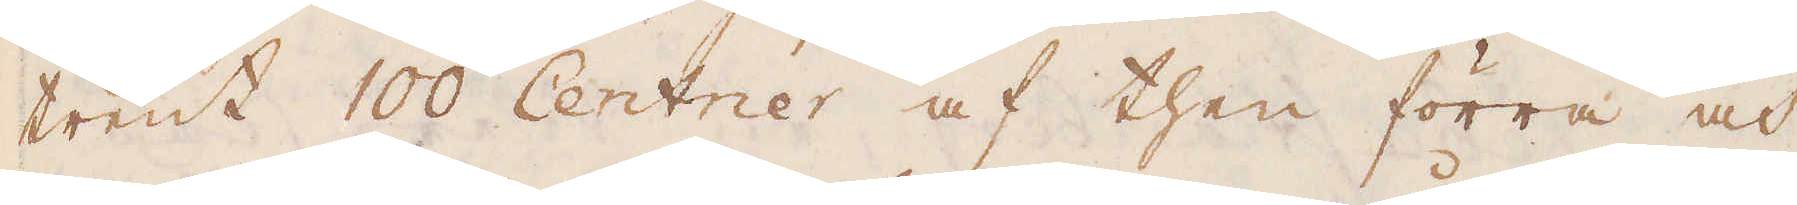trent 100 Centrier af then förra och
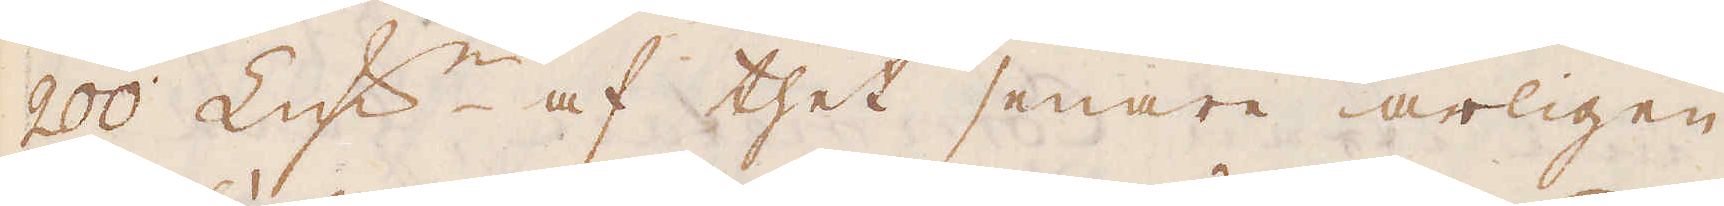200 lödig marker af thet senare årligen.
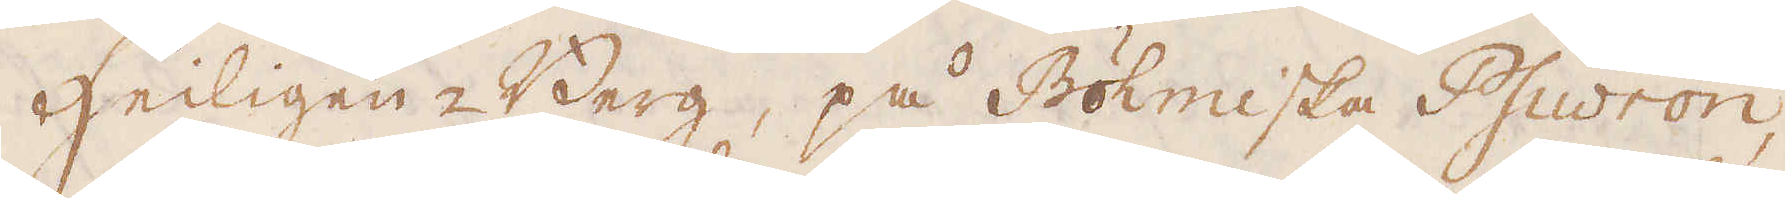Heiligen-Berg, på Böhmiska Psiwron,
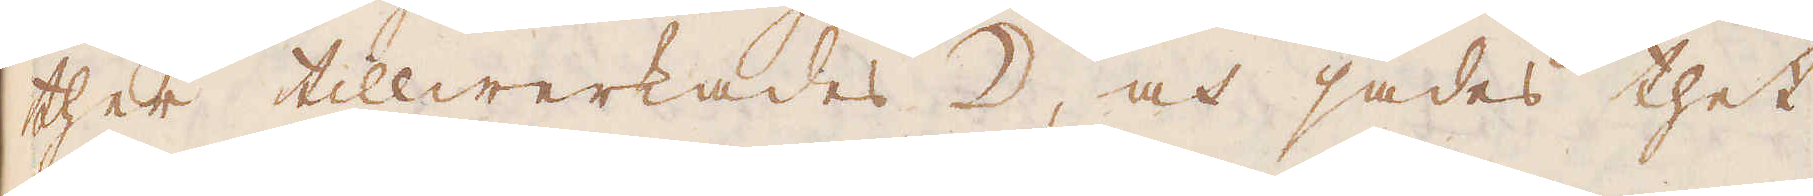ther tillwerkades ☽, och sades thet
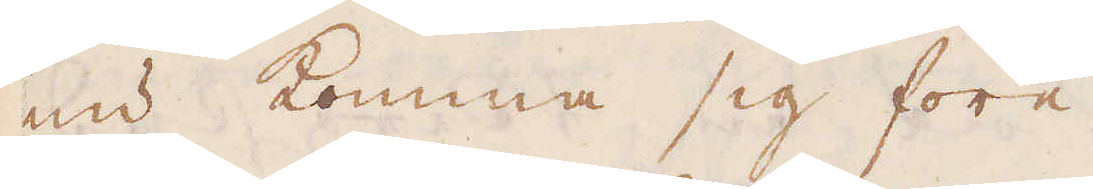nu komma sig före.
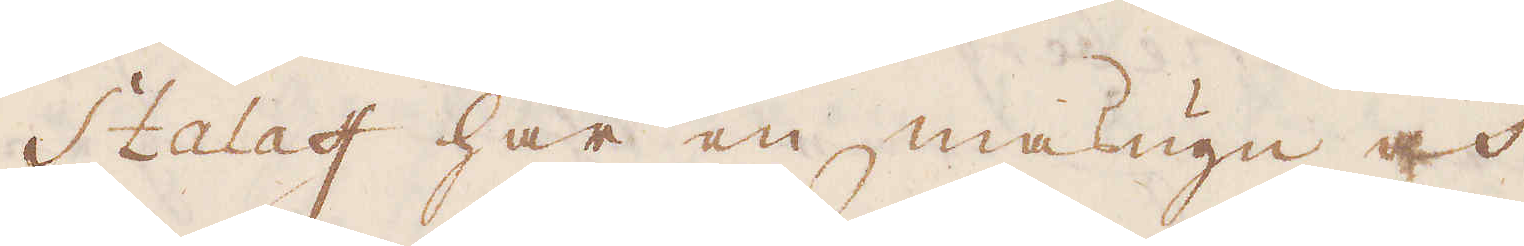Stalaff har en masugn och
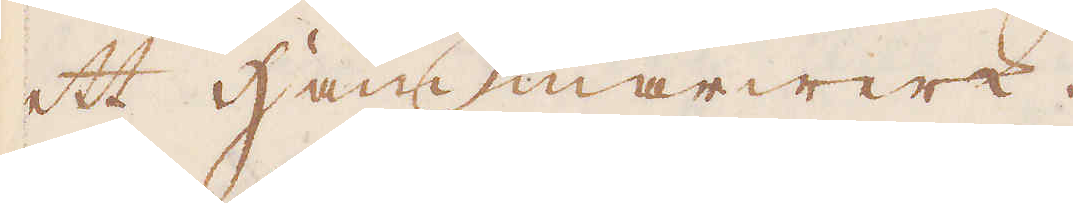ett Hammarwerk.
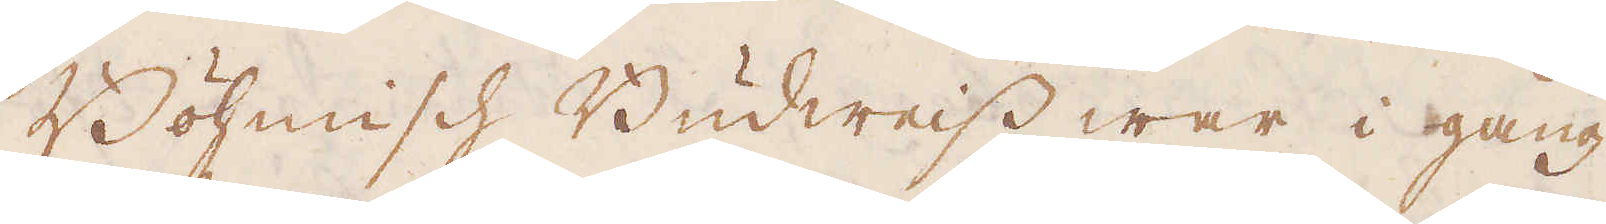Böhmisch Budweiss war i gång
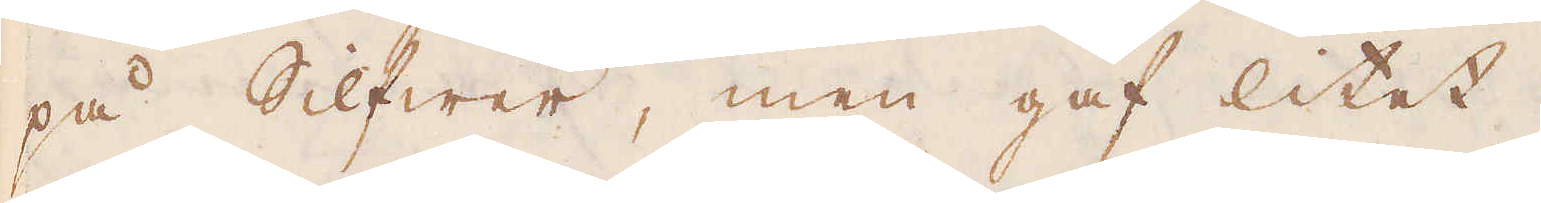på Silfwer, men gaf litet.
